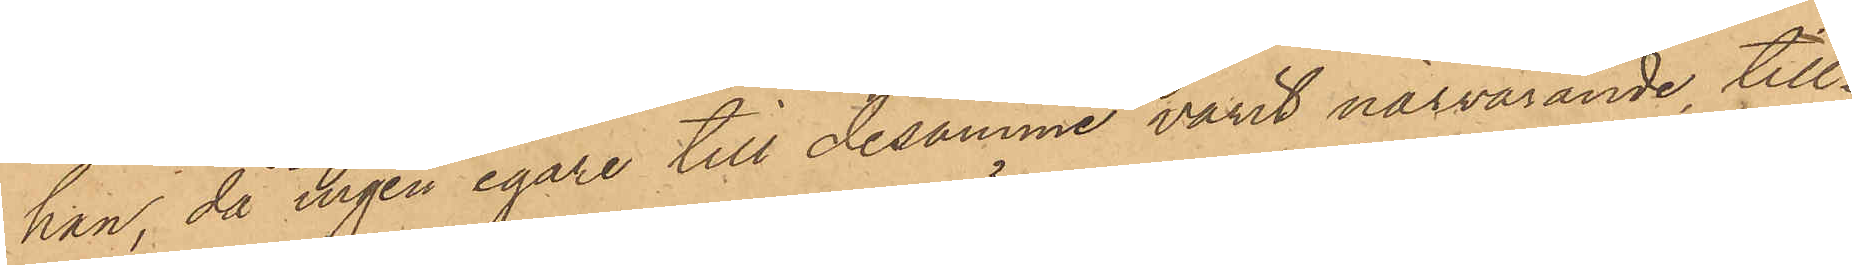han, då ingen egare till desamme varit närvarande, till¬
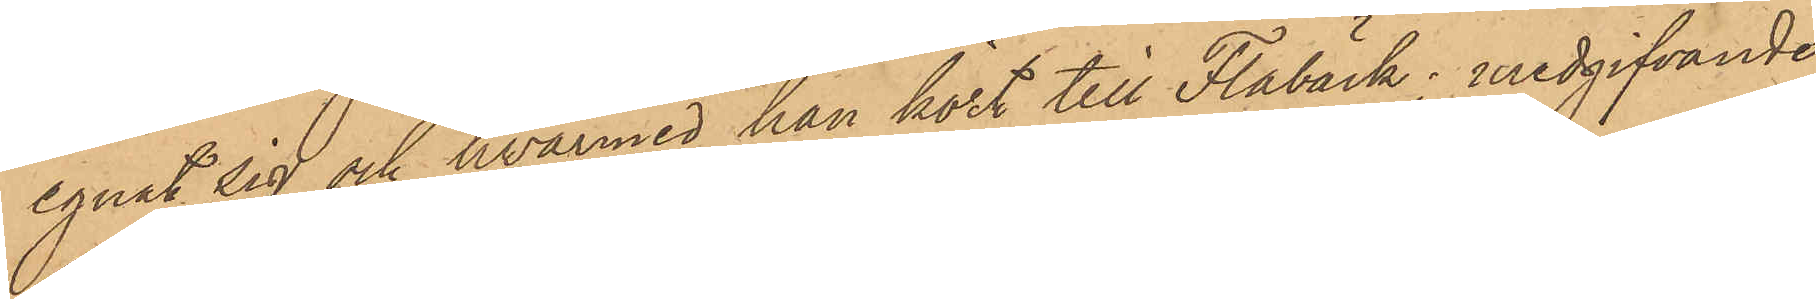egnat sig och hvarmed han kört till Flabäck, medgifvande
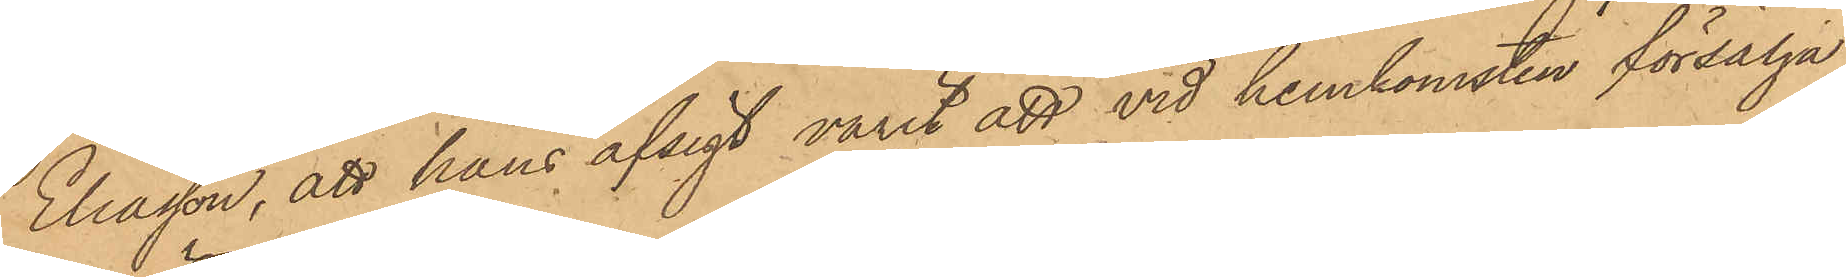Eliasson, att hans afsigt varit att vid hemkomsten försälja
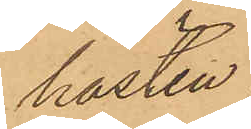hästen.
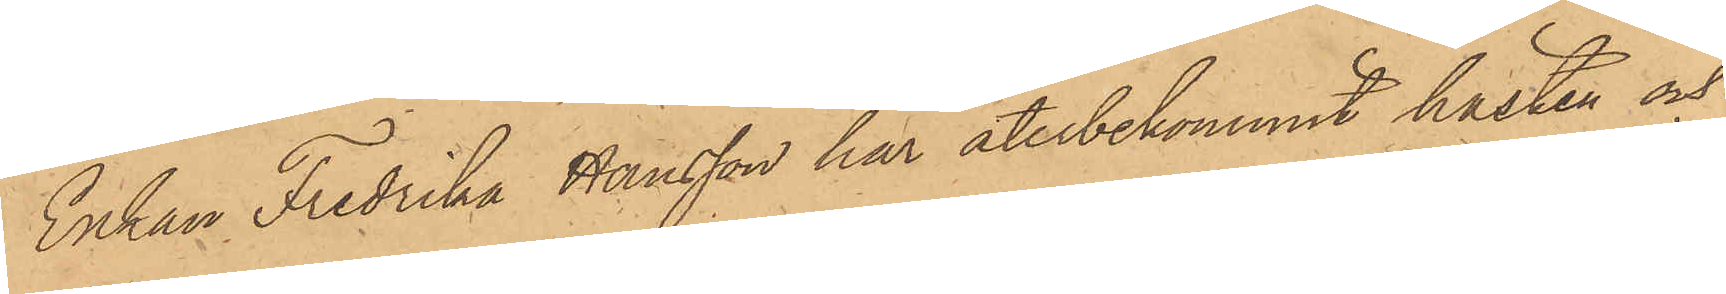Enkan Fredrika Hansson har återbekommit hästen och
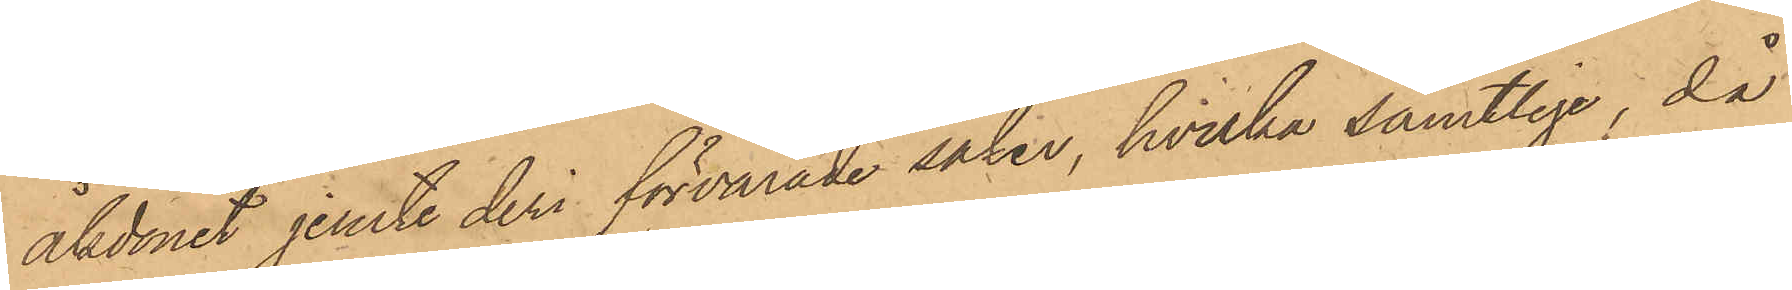åkdonet jemte deri förvarade saker, hvilka samtlige, då
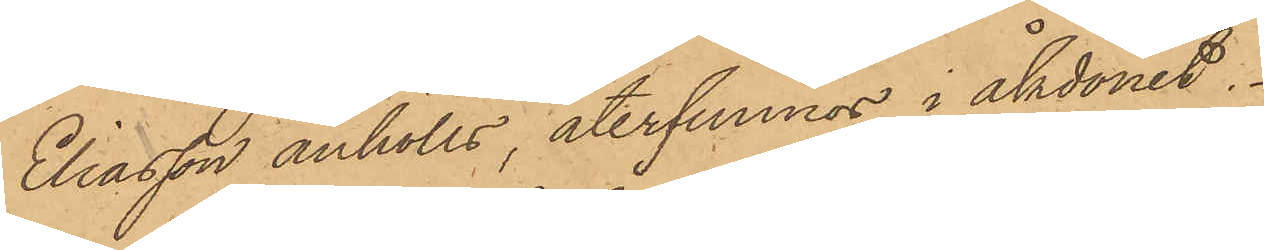Eliasson anhölls, återfunnos i åkdonet.
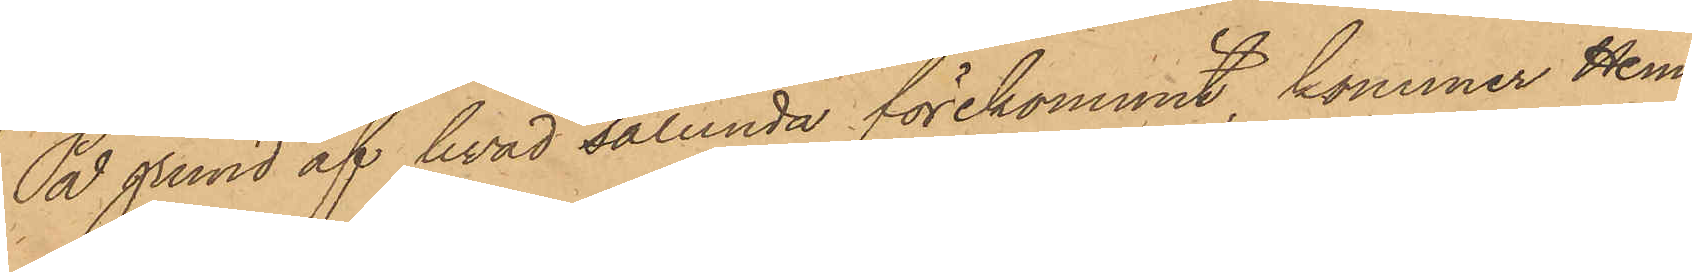På grund af hvad sålunda förekommit, kommer Hem¬
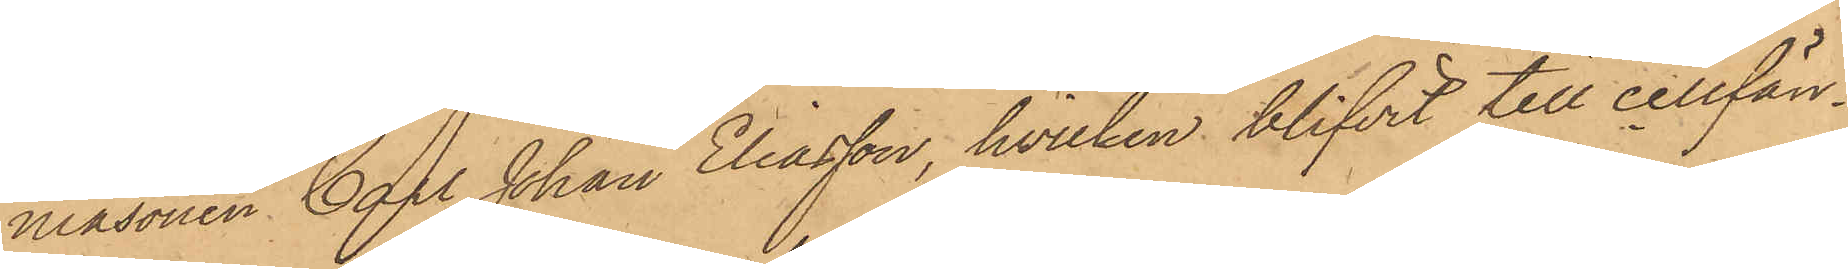masonen Carl Johan Eliasson, hvilken blifvit till cellfän¬
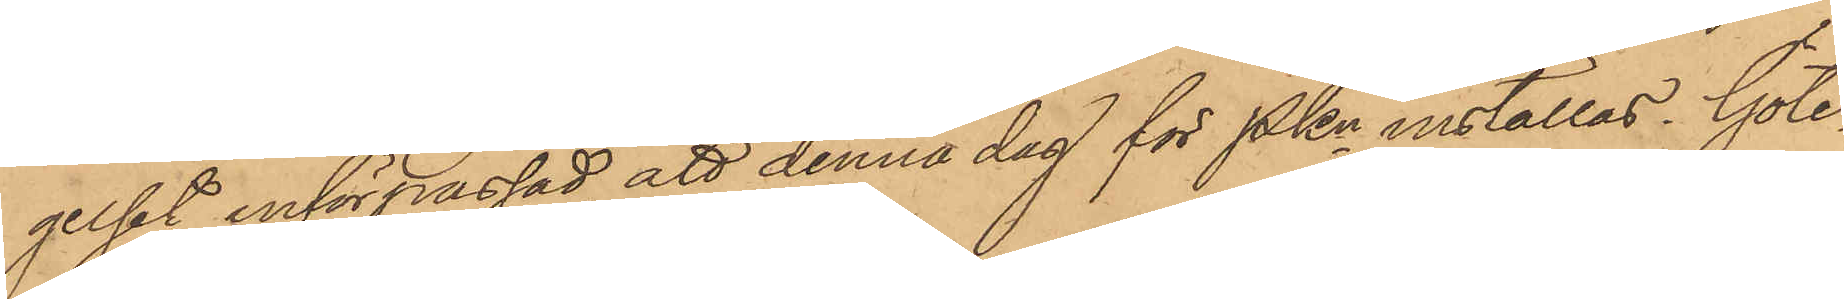gelset införpassad, att denna dag för PKn inställas. Göte¬
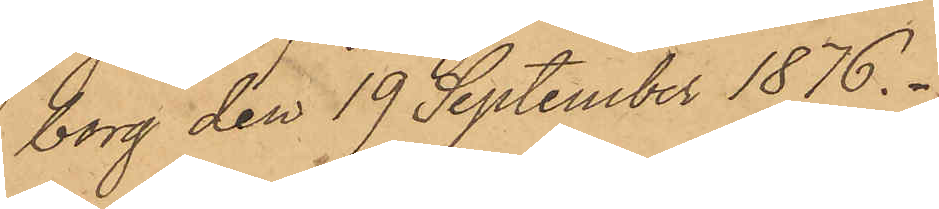borg den 19 September 1876.
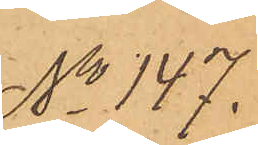No 147.
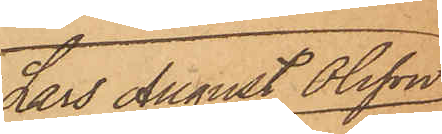Lars August Olsson
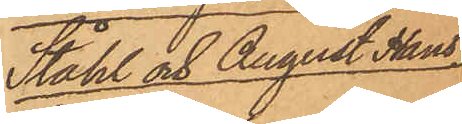Ståhl och August Hans¬
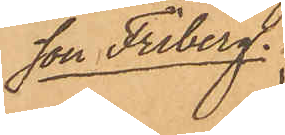son Friberg.
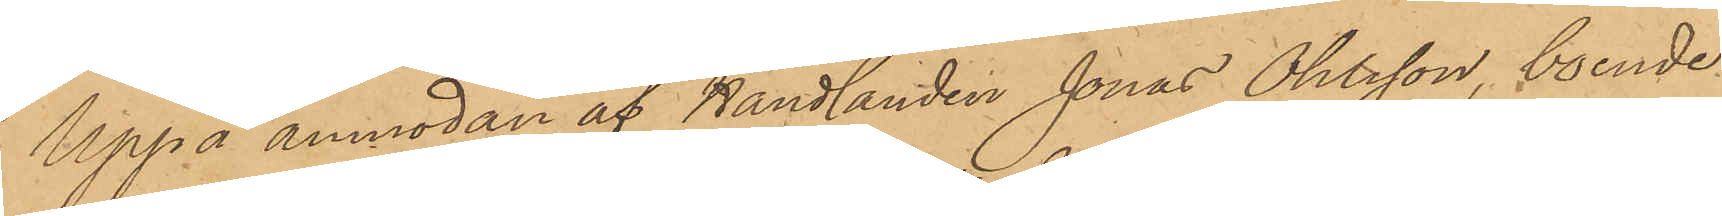Uppå anmodan af Handlanden Jonas Ohlsson, boende
